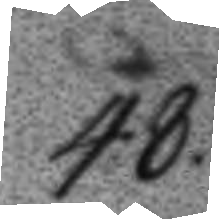48.
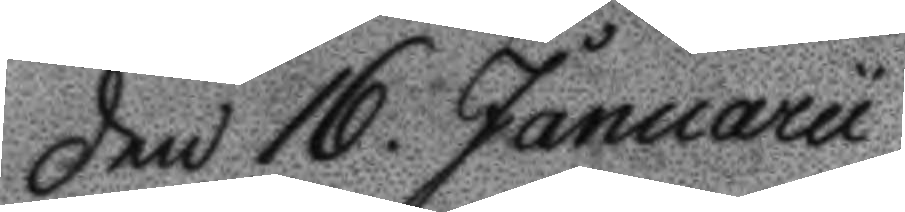Den 16 Januarii
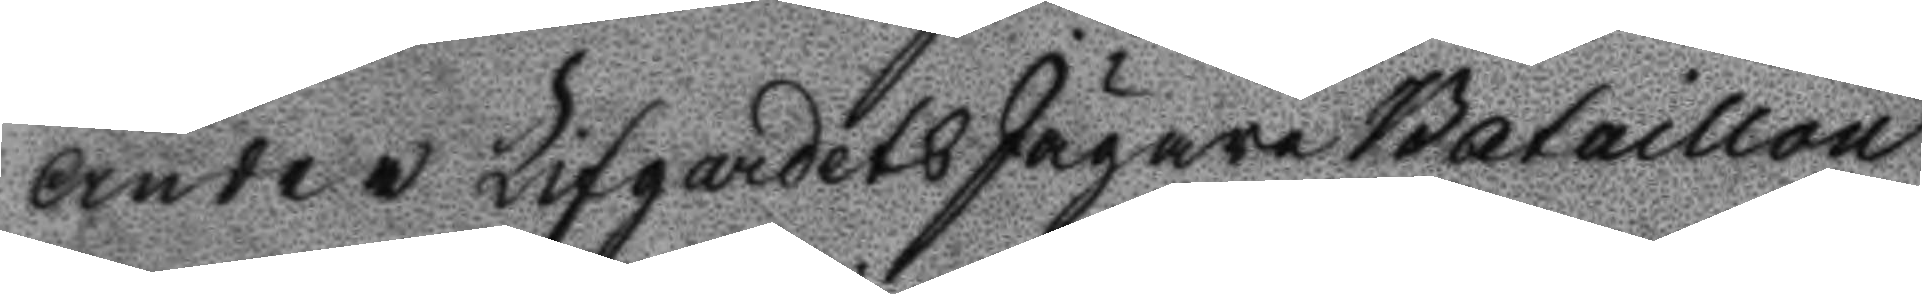andre Lifgardets Jägare bataillon
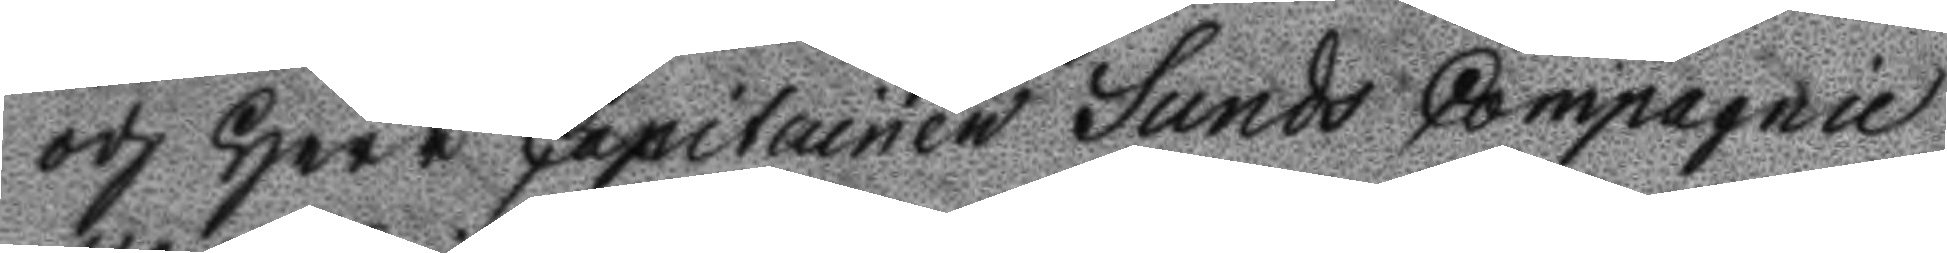och Herr Capitainen Sunds Compagnie
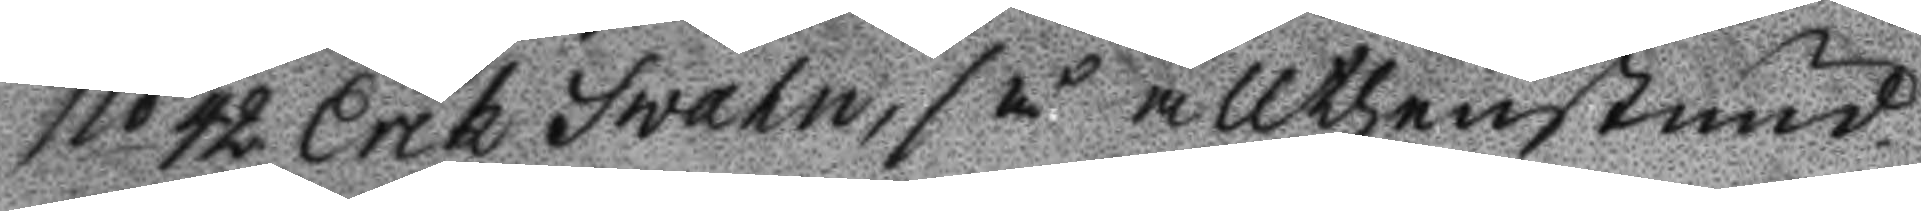No 42 Erik Swahn, så allthenstund
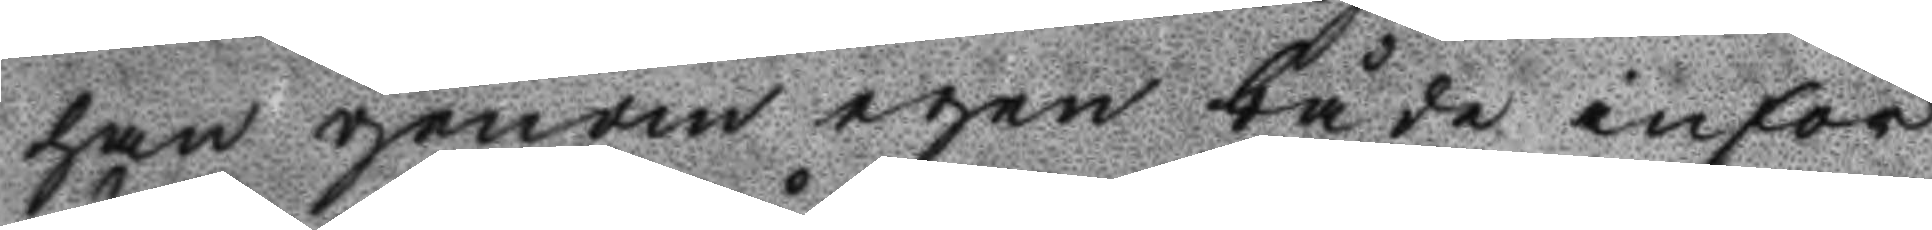han genom egen både inför
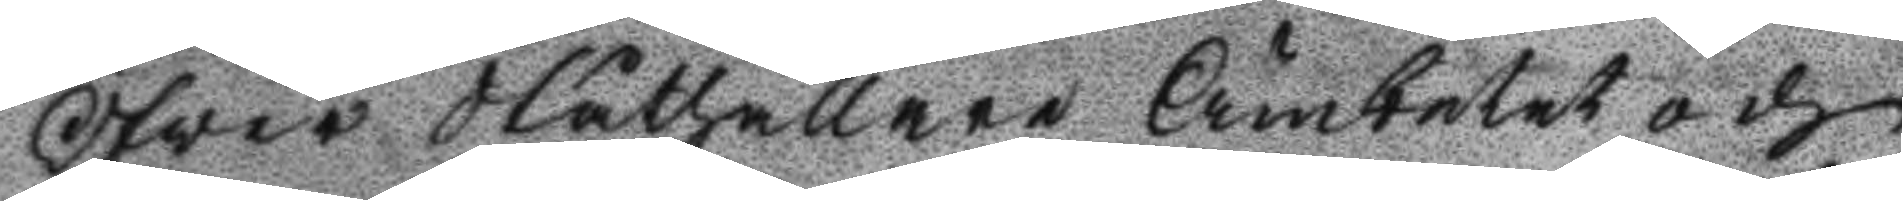Öfwer Ståthållare Ämbetet och
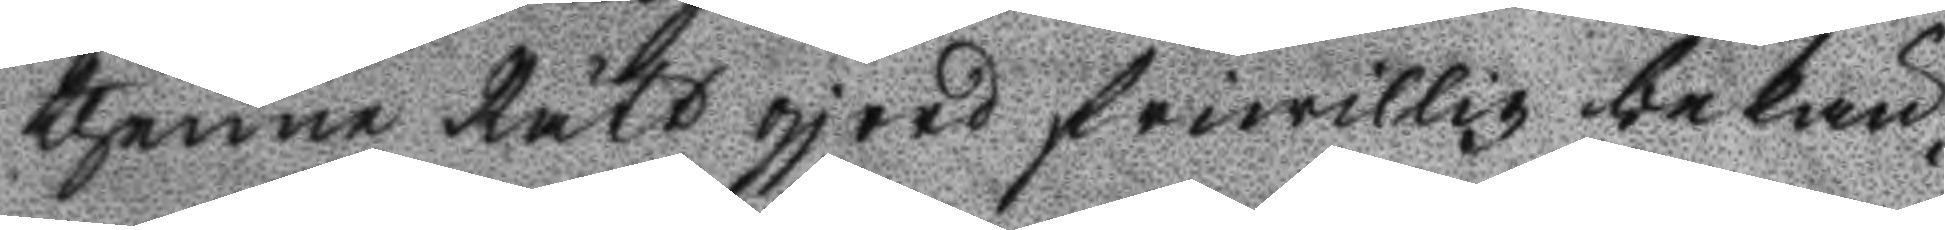thenne Rätt gjord friwillig bekän¬
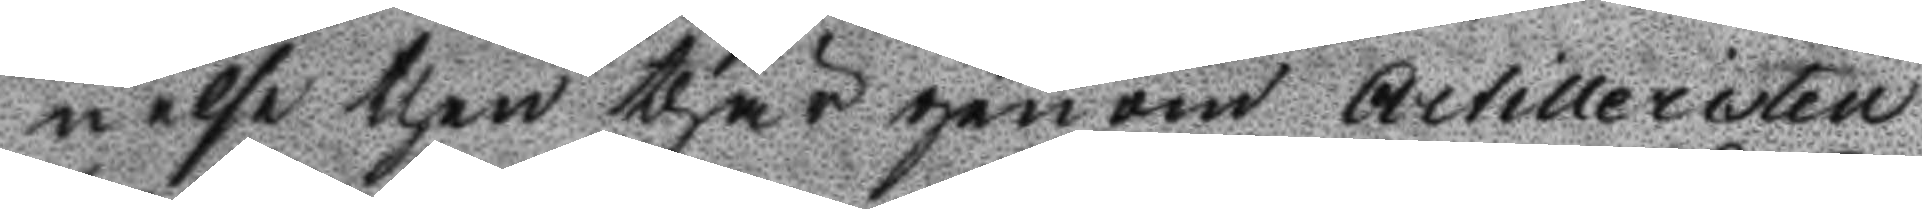nelse then thär genom Artilleristen
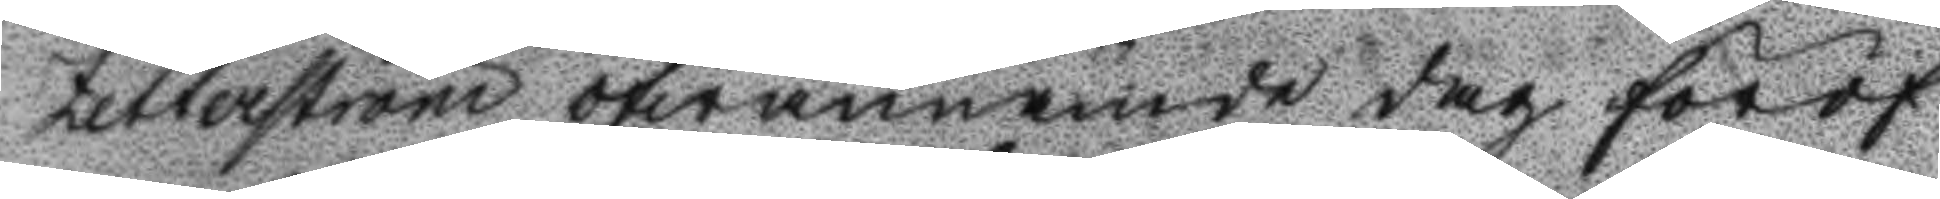Zetterström ofwannämde dag föröf¬
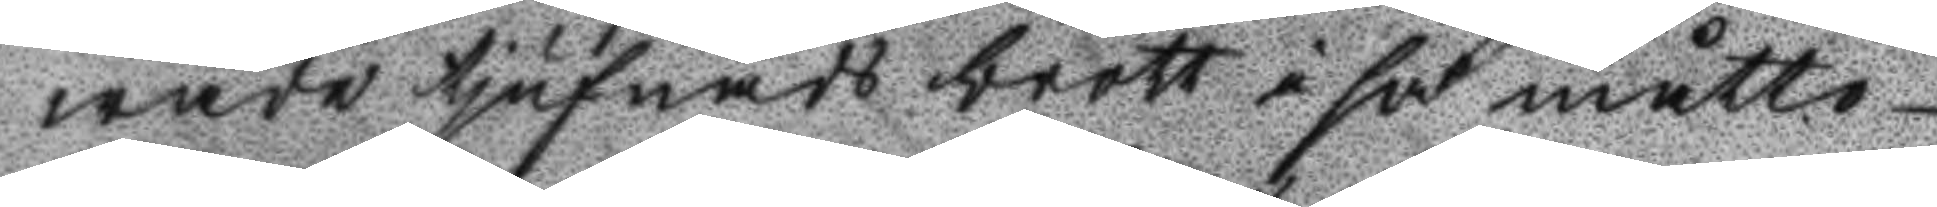wade tjufnads brott i så måtto
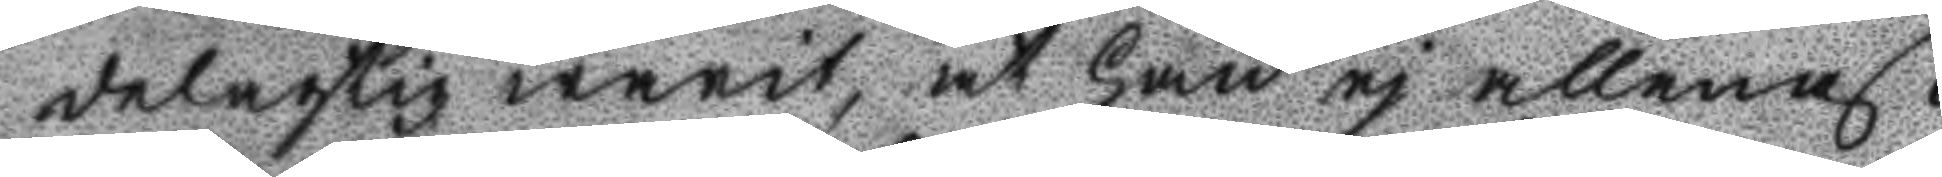delagtig warit, at han ej allenast
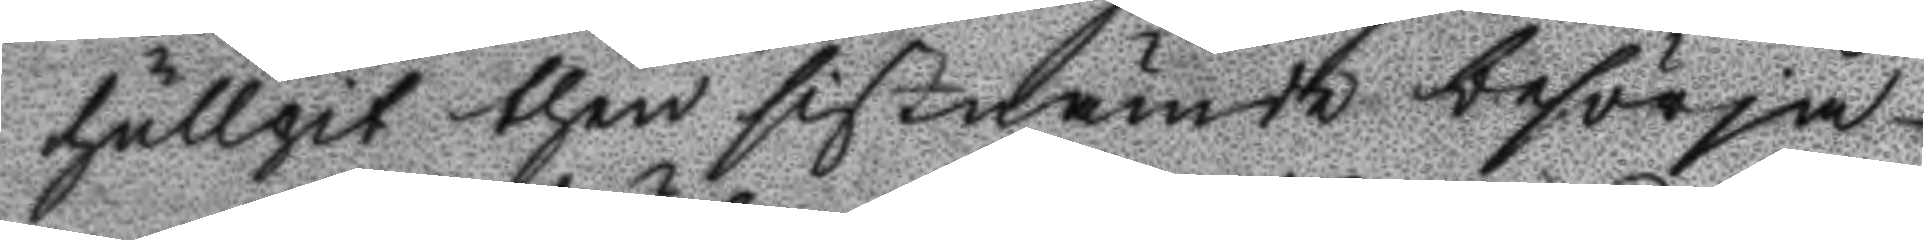hullpit then sistnämde besörja
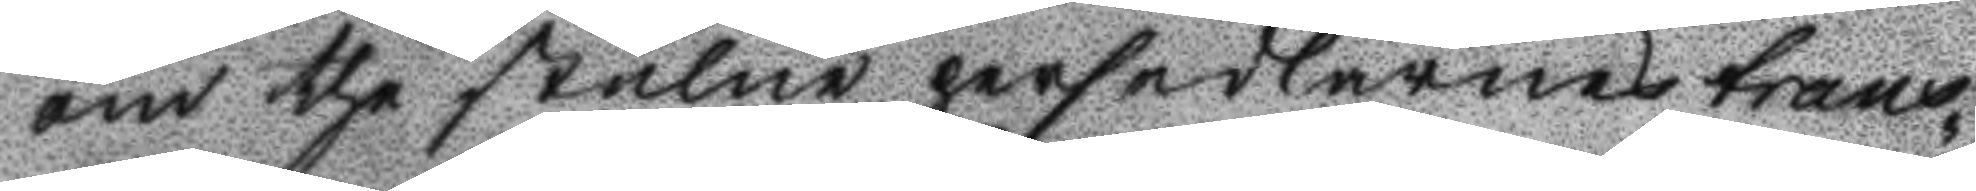om the stulne persedlarnes trans¬
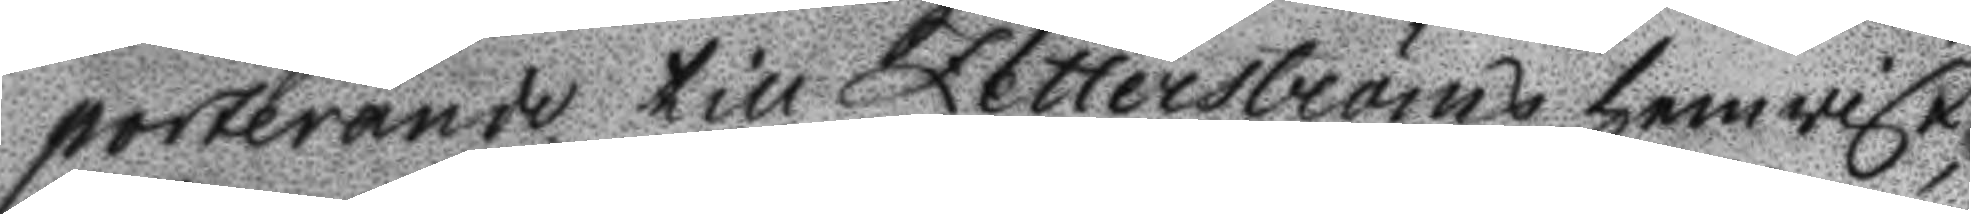porterande till Zetterströms hemvist
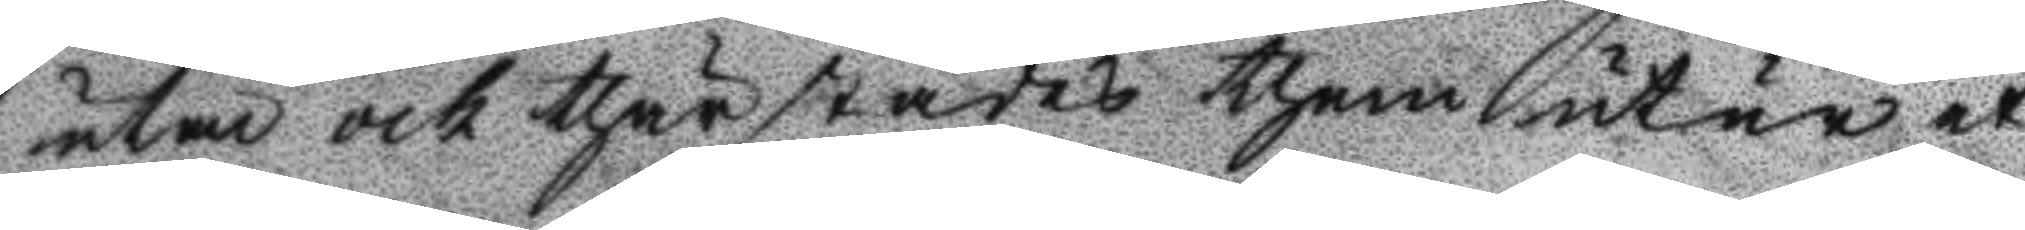utan och thärstädes them utur et
